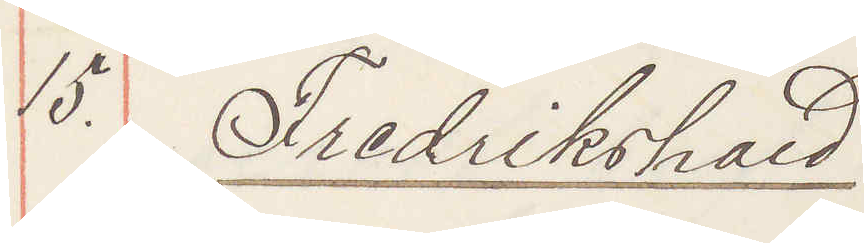15. Fredrikshald
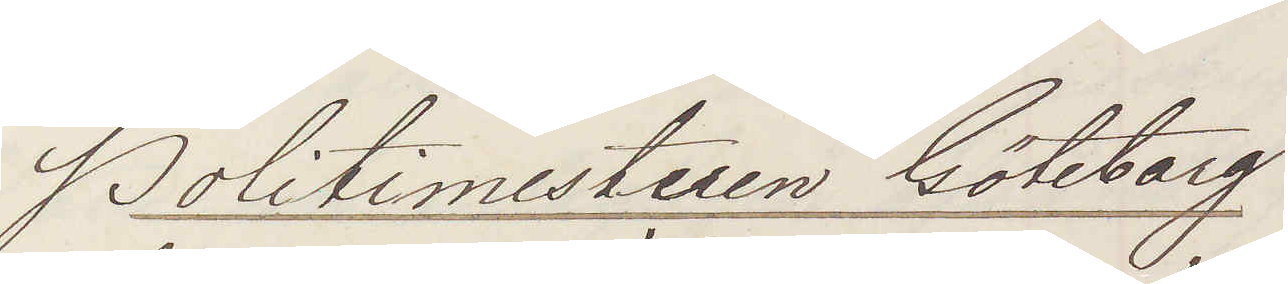Politimesteren Göteborg
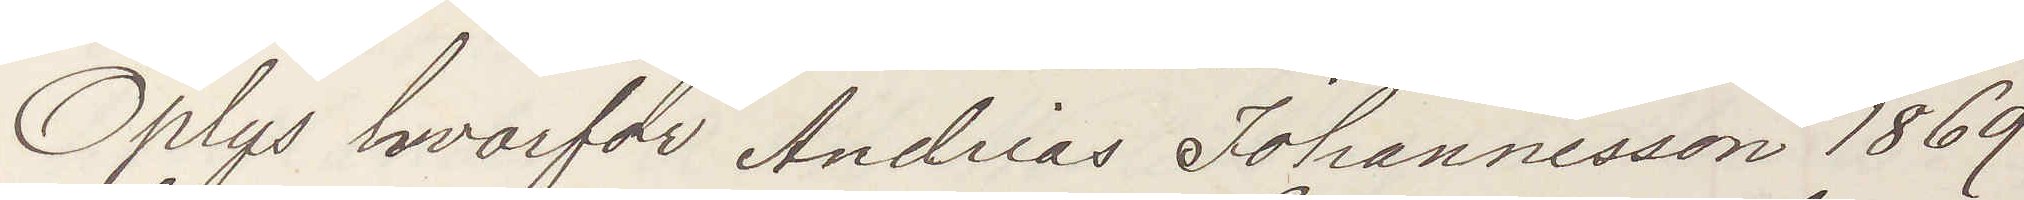Oplys hvarfor Andreas Johannesson 1869
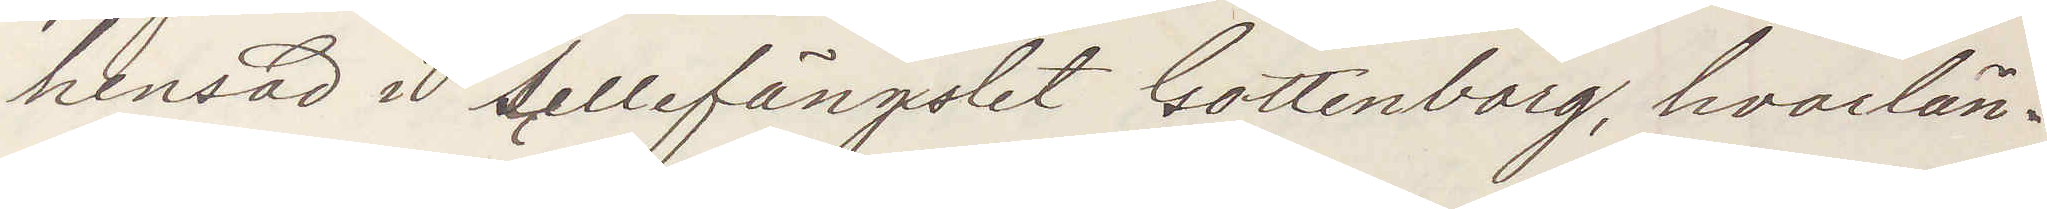hensad i sellefängslet Gottenborg, hvorlän¬
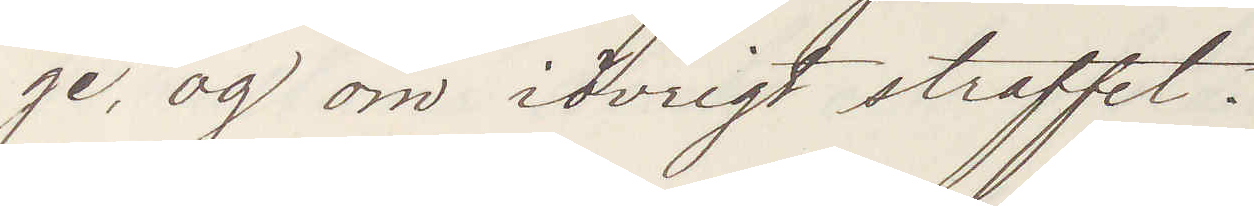ge og om iövrigt straffet.
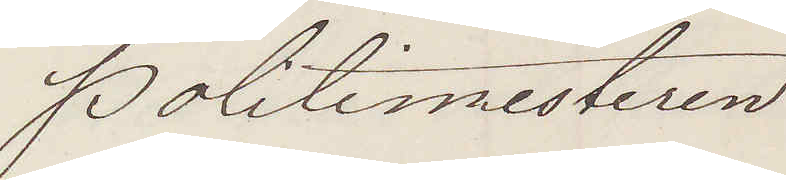Politimesteren
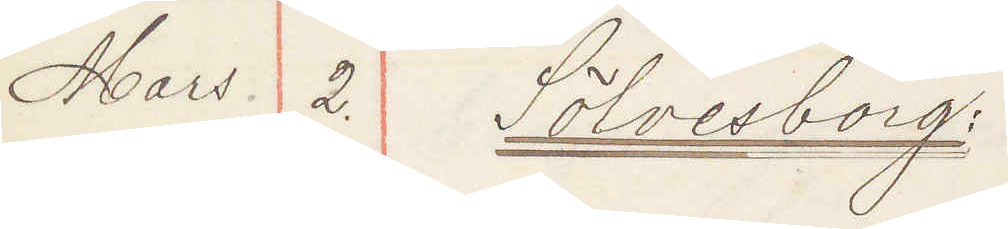Mars. 2. Sölvesborg:
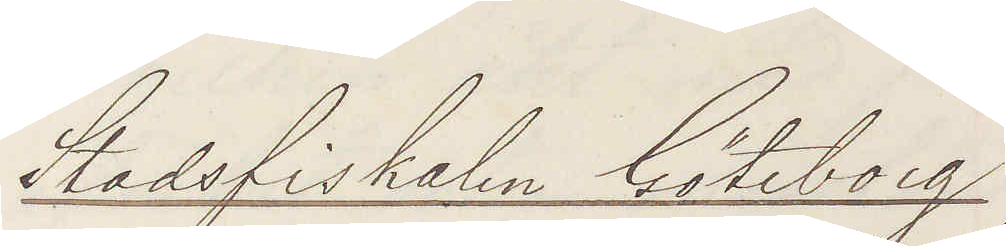Stadsfiskalen Göteborg
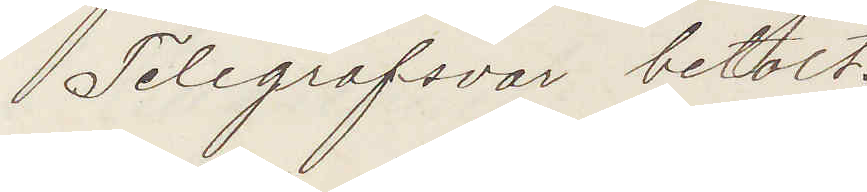Telegrafsvar betalt.
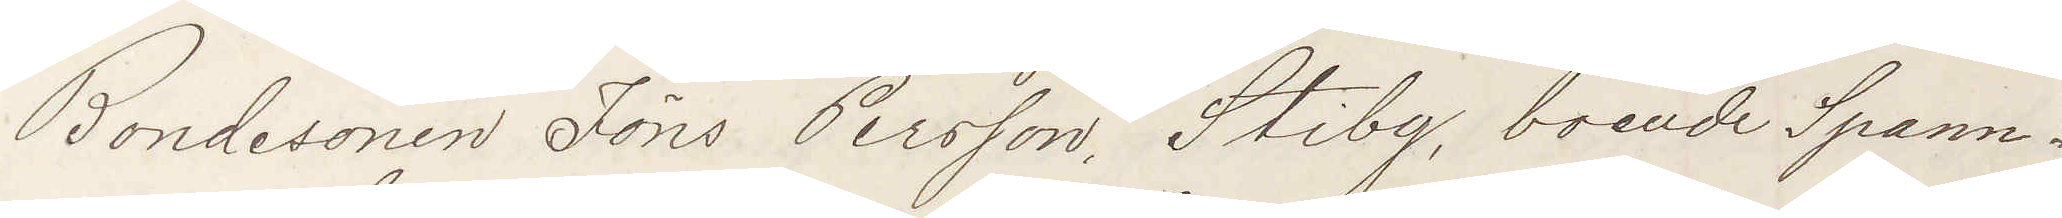Bondesonen Jöns Persson, Stiby, boende Spann¬
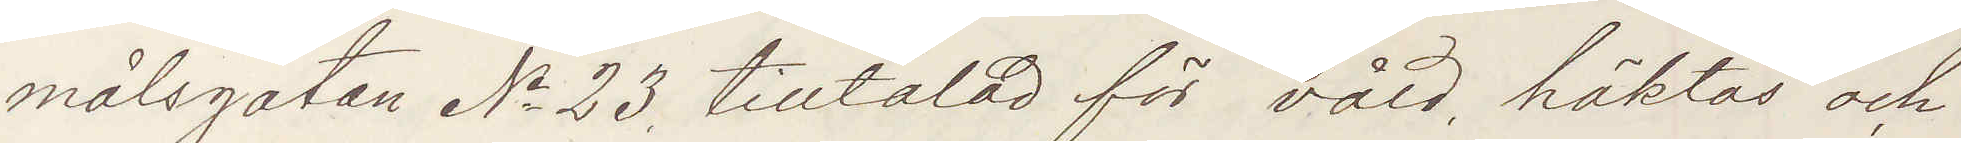målsgatan No 23 tilltalad för våld, häktas och
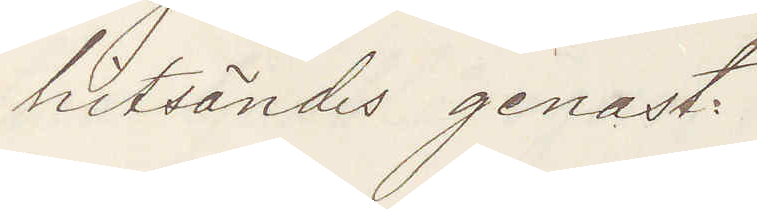hitsändes genast.
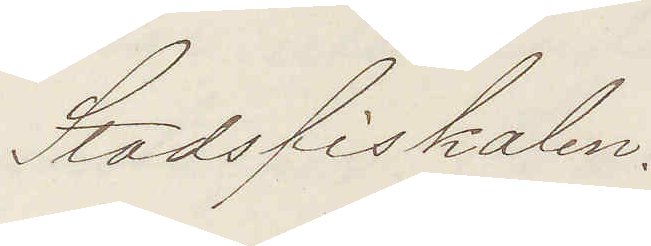Stadsfiskalen.
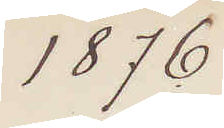1876
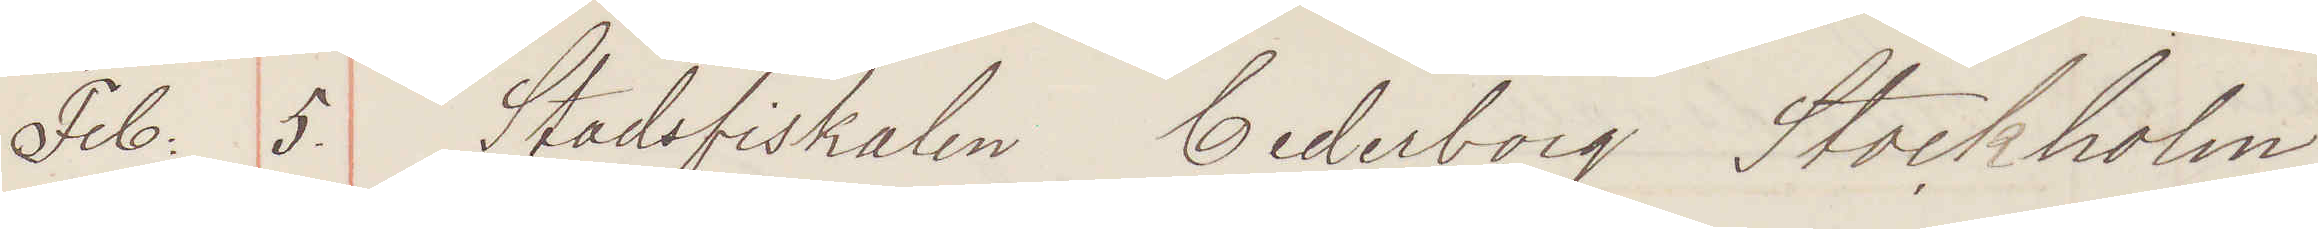Feb: 5. Stadsfiskalen Cederborg Stockholm
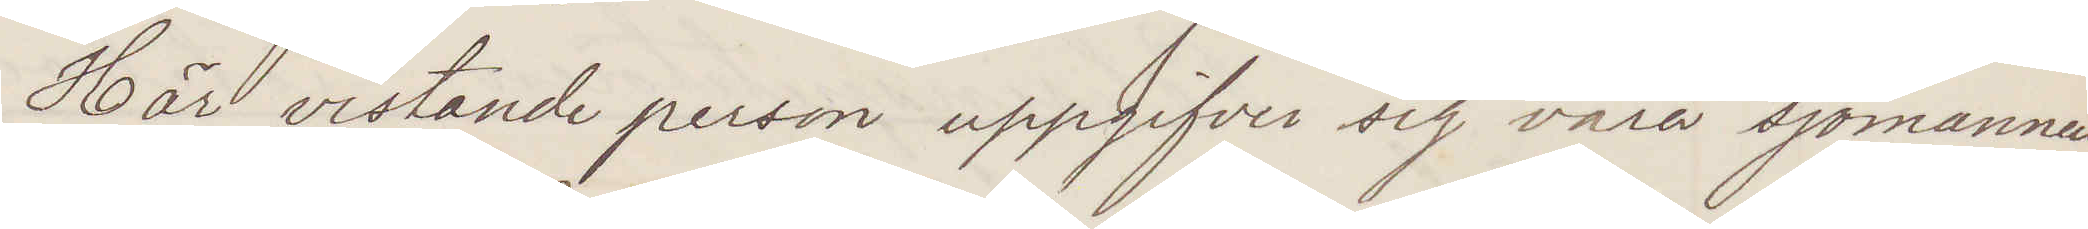Här vistande person uppgifver sig vara sjömannen
